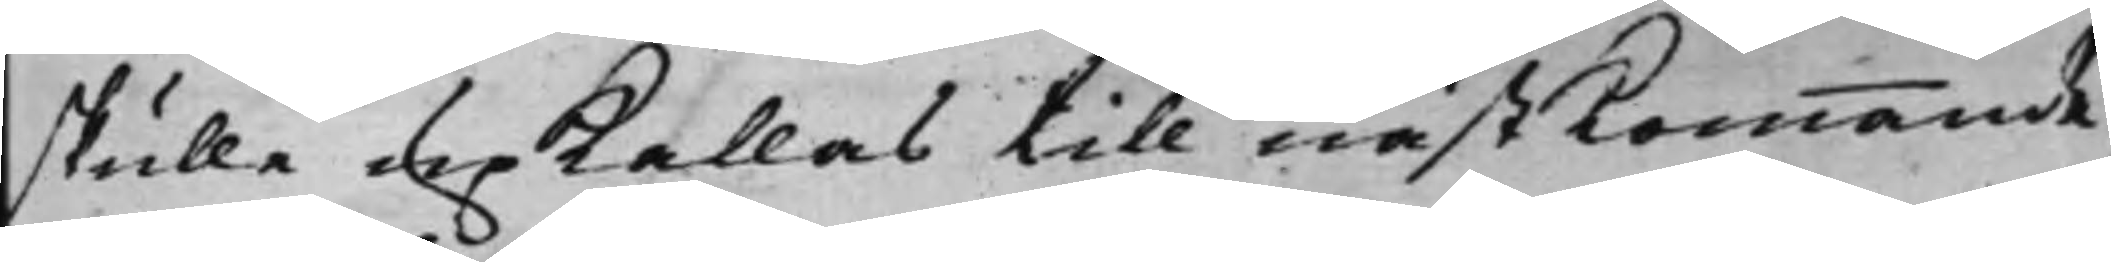skulle upkallas till nästkommande
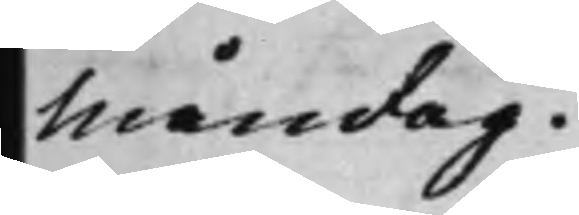Måndag.
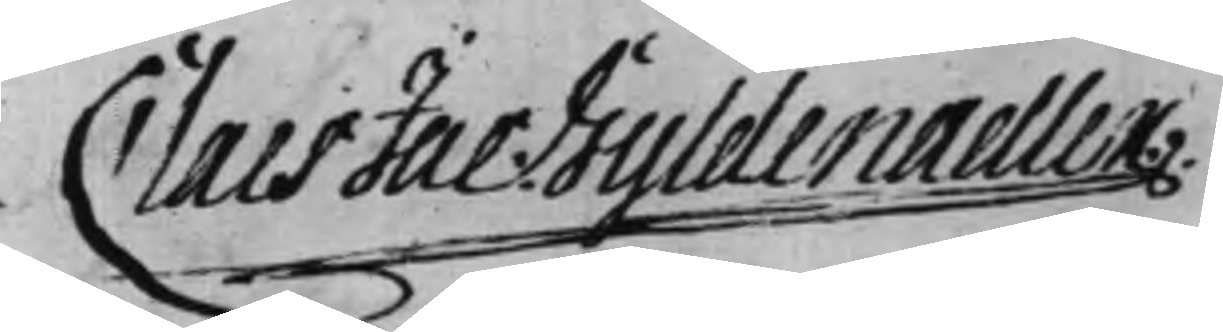Claes Jac: Gyldenadler
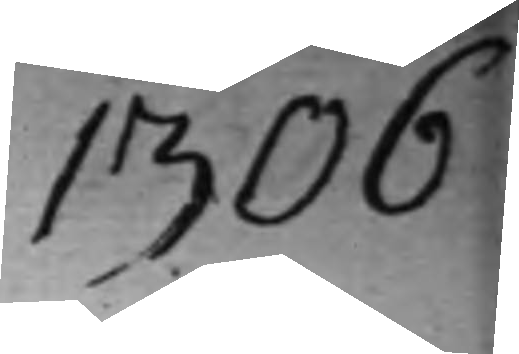1306
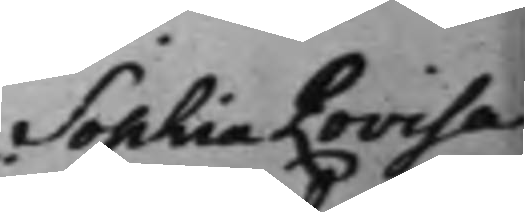Sophia Lovisa
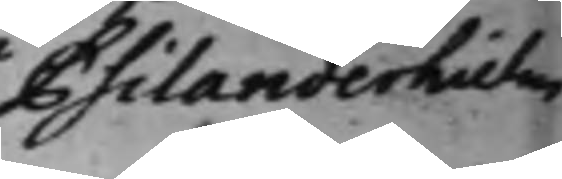Psilanderhielm
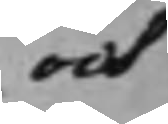och
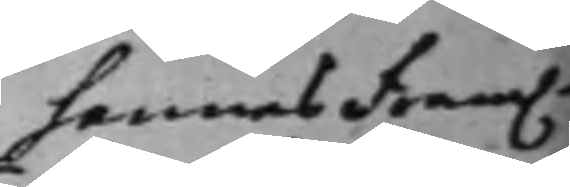hennes Fram.e
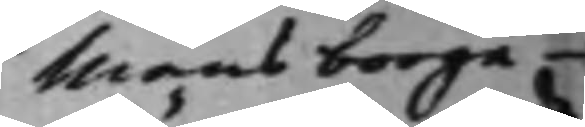Mans borge¬
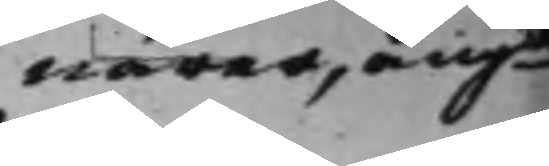närer, angde
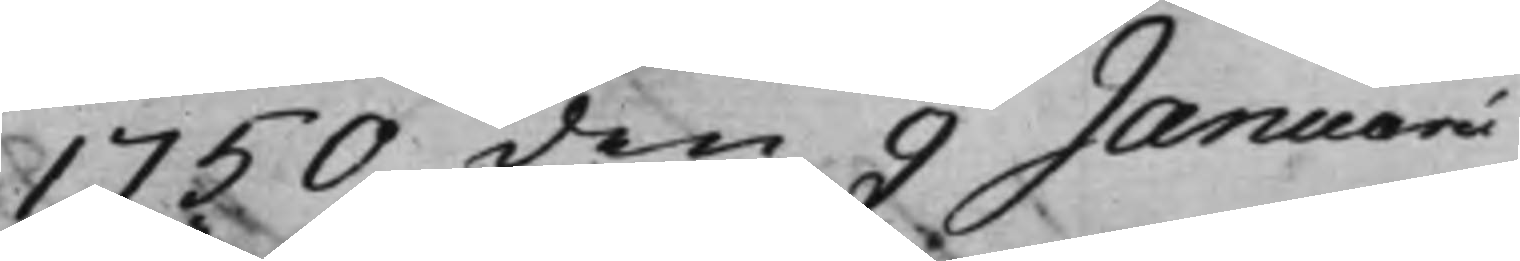1750 den 9 Januari
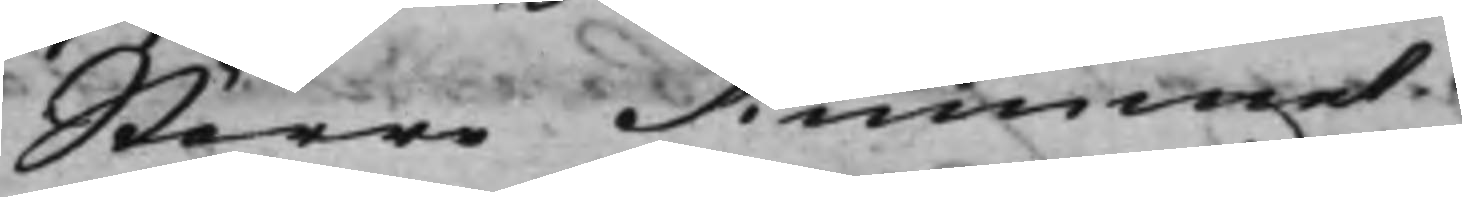Större Rummet.
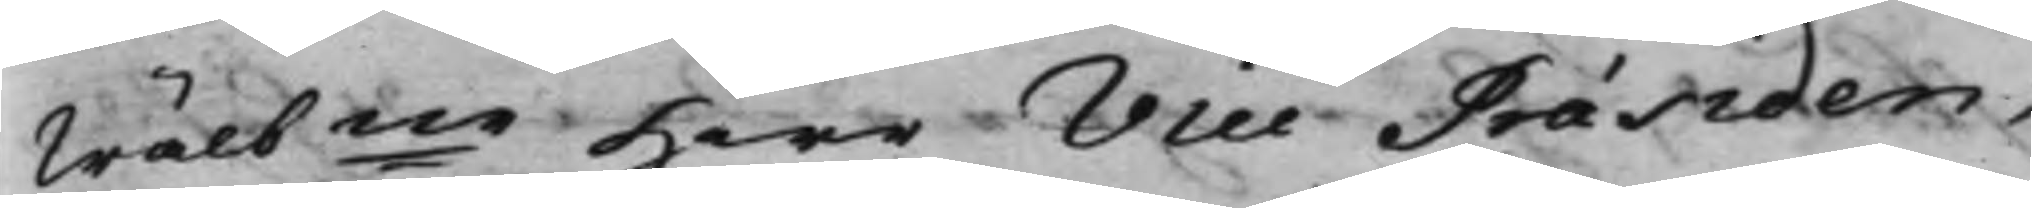Wälbne Herr Vice Präsiden¬
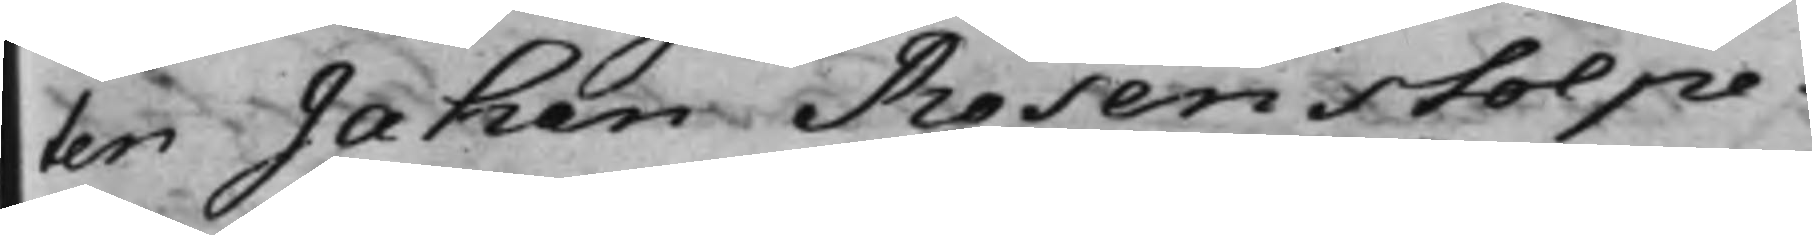ten Jahan Rosenstolpe.
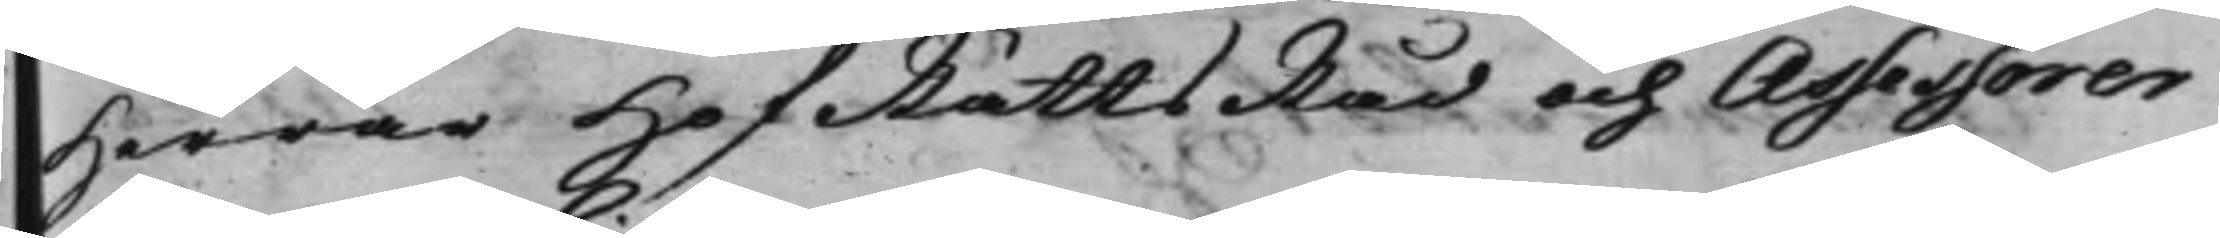Herrar HofRättsRåd och Assessorer
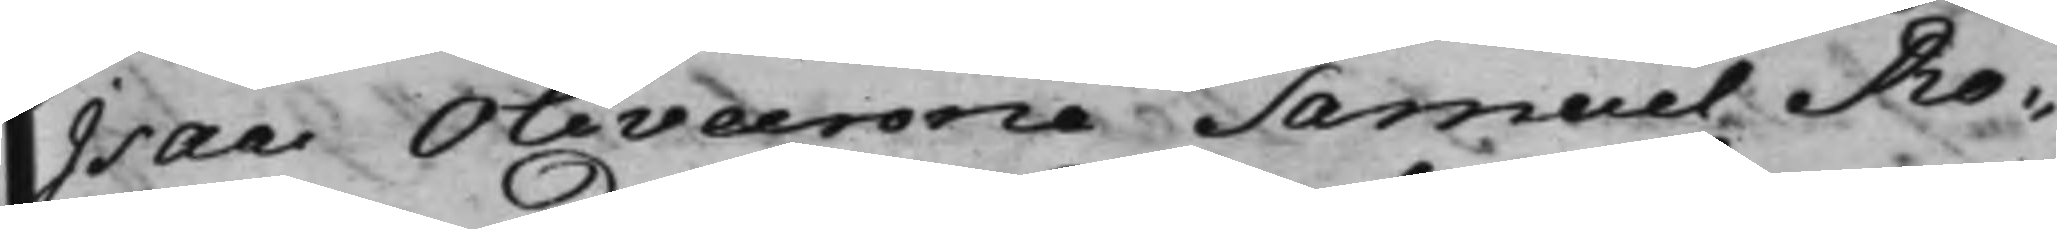Isac Olivecrona Samuel Ro¬
